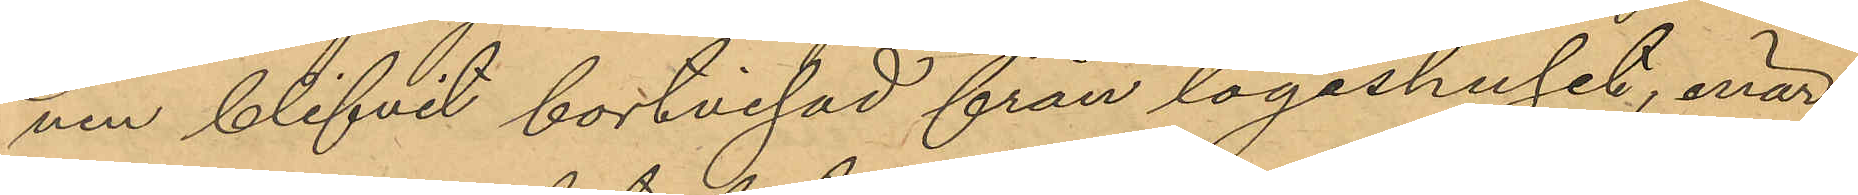nen blifvit bortvisad från logishuset, enär
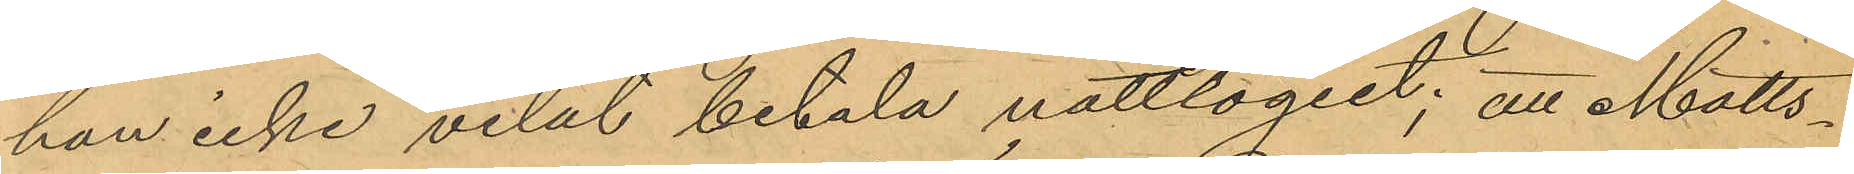han icke velat betala nattlogiet; att Matts¬
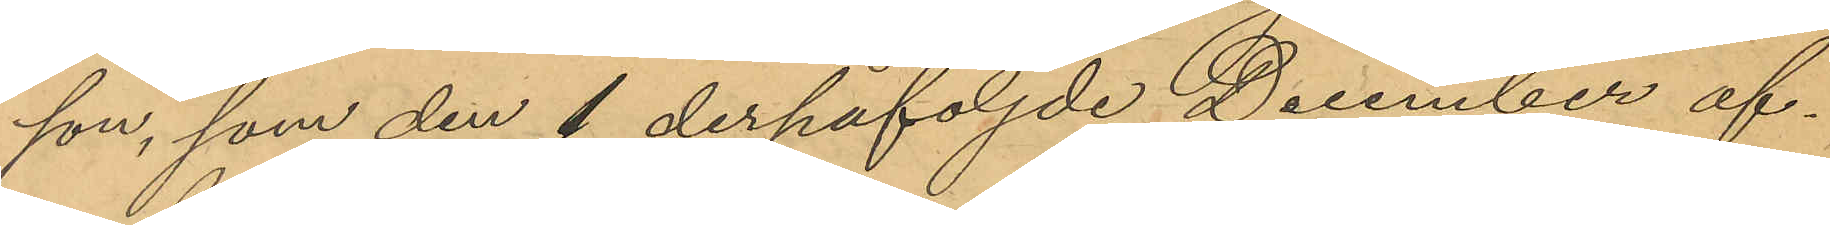son, som den 1 derpåföljde December af¬
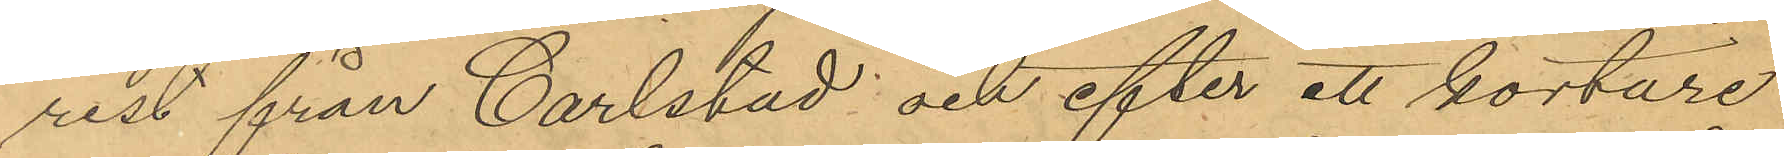rest från Carlstad; och efter ett kortare
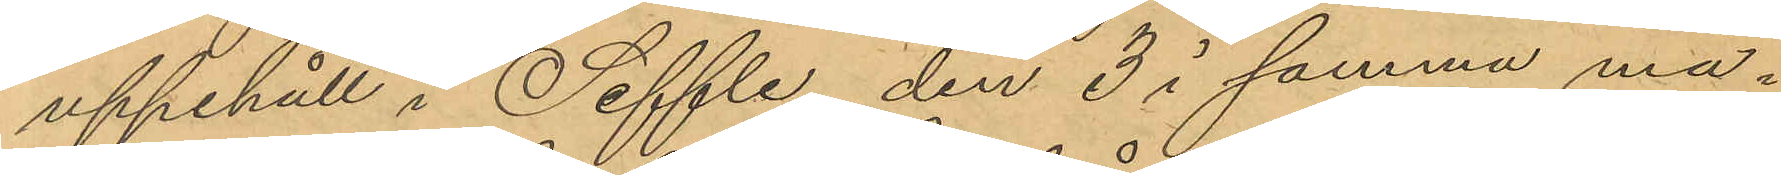uppehåll i Seffle, den 3 i samma må¬
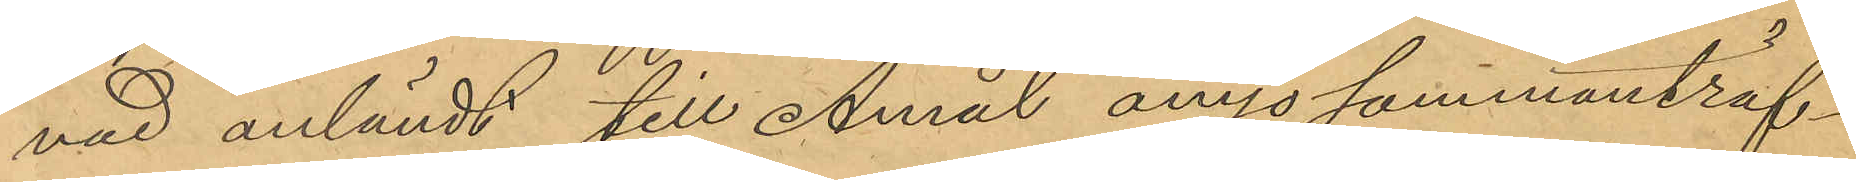nad anländt till Åmål ånyo sammanträf¬
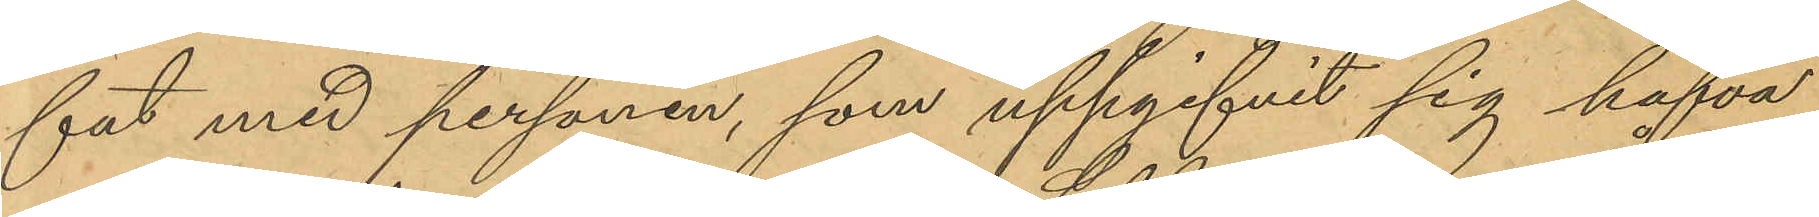fat med personen, som uppgifvit sig hafva
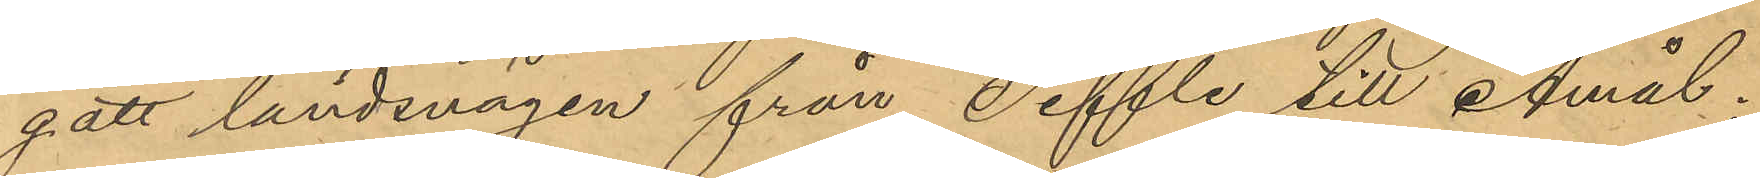gått landsvägen från Seffle till Amål,
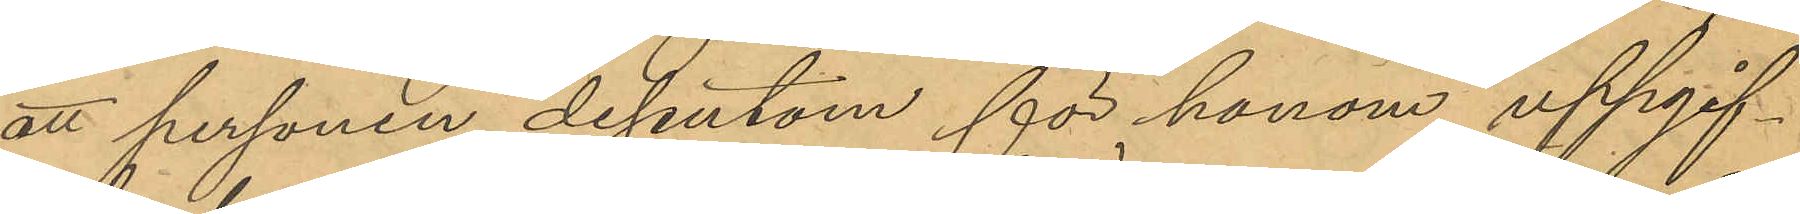att personen dessutom för honom uppgif¬
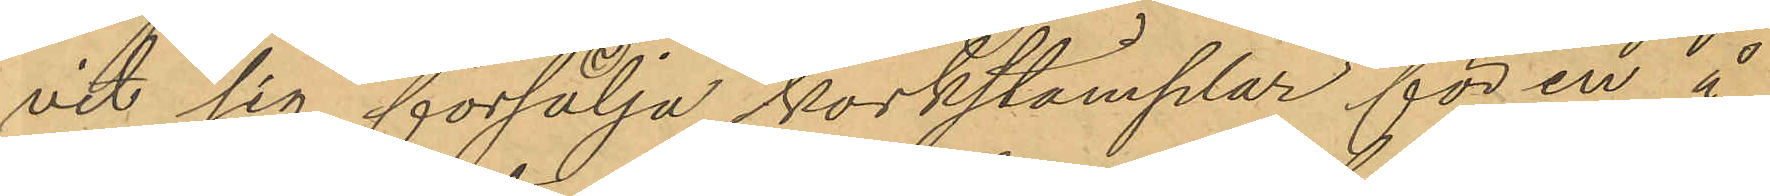vit sig försälja korkstämplar för en å
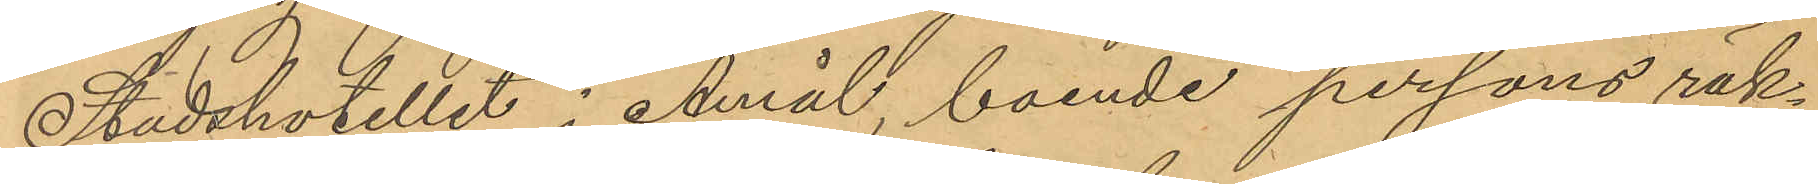Stadshotellet i Åmål boende persons räk¬
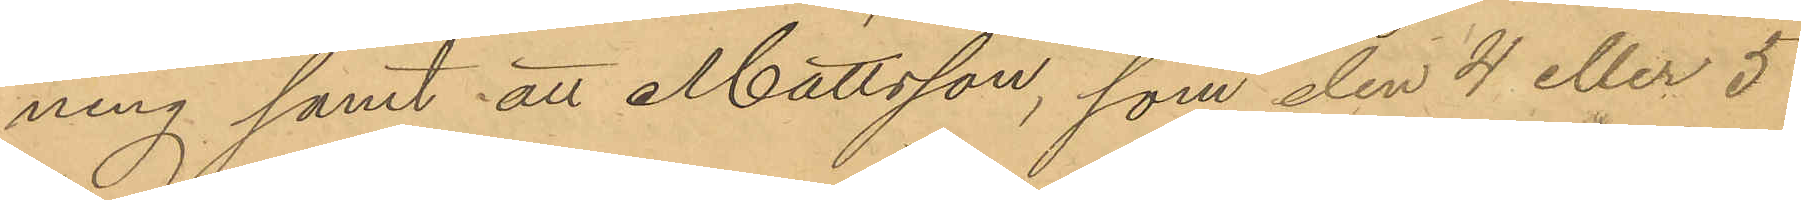ning samt att Mattsson, som den 4 eller 5
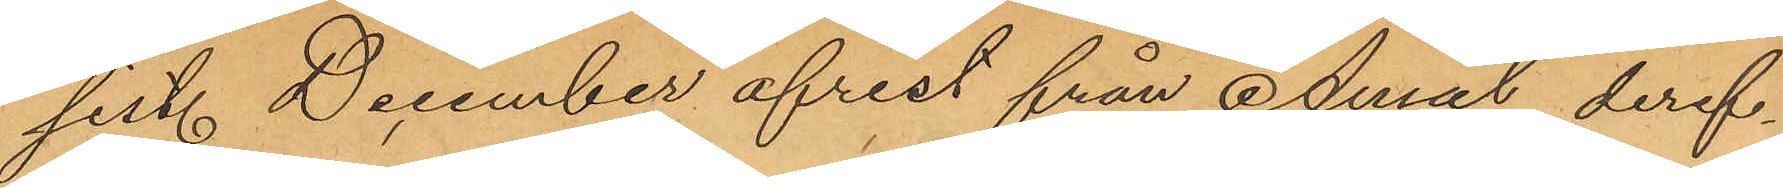sist. December afrest från Åmål deref¬
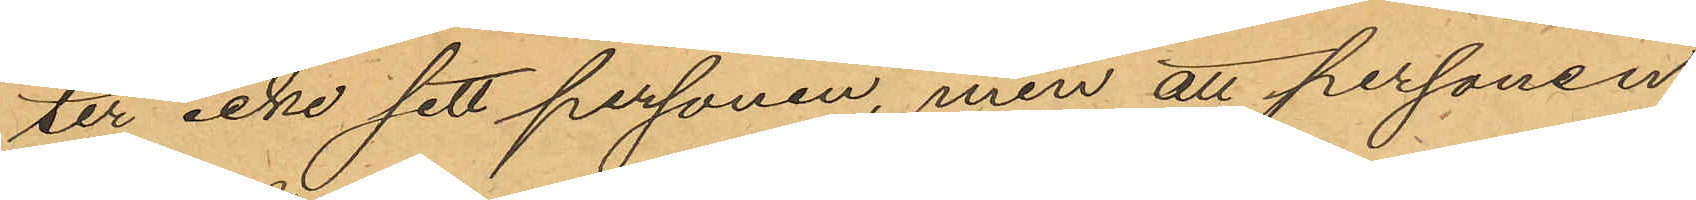ter icke sett personen, men att personen
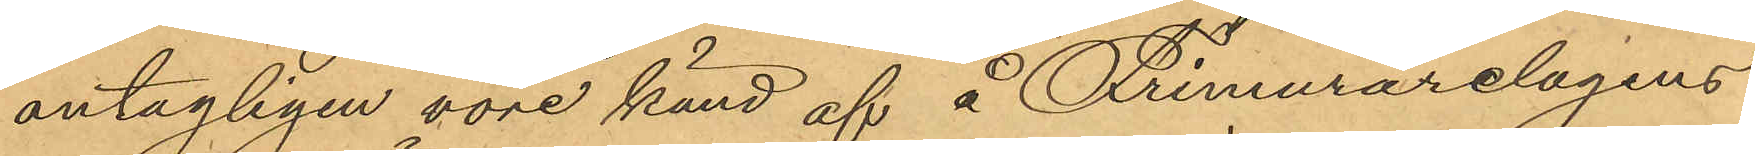antagligen vore känd af å Frimurarelogens
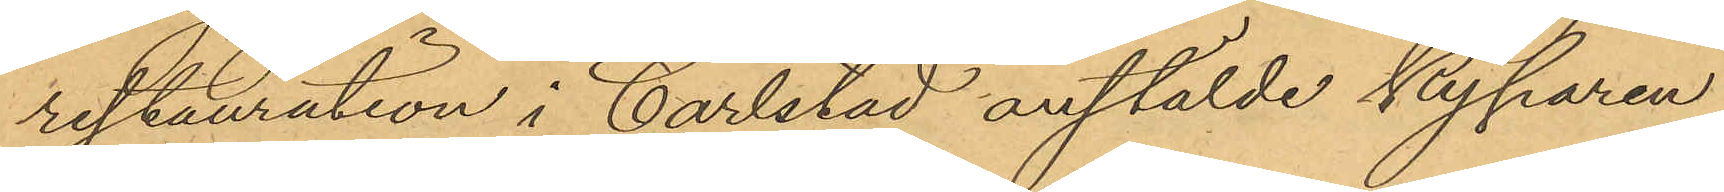restauration i Carlstad anstälde kyparen
